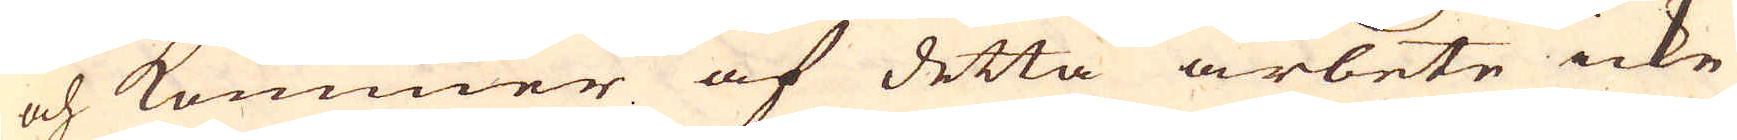och kommer af detta arbete icke
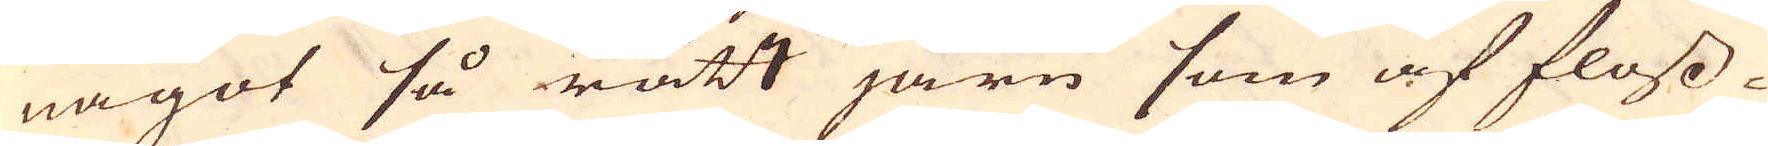något så rätt järn som af floss-
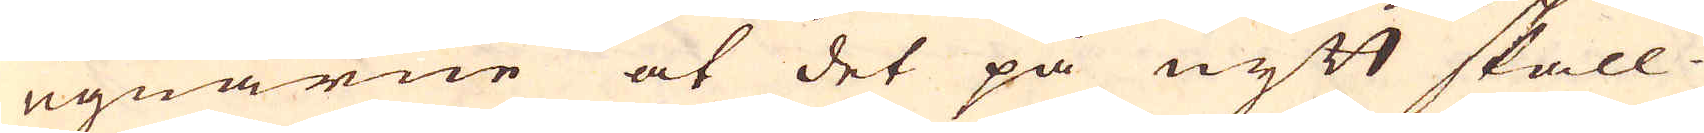ugnarne at det på nytt skall
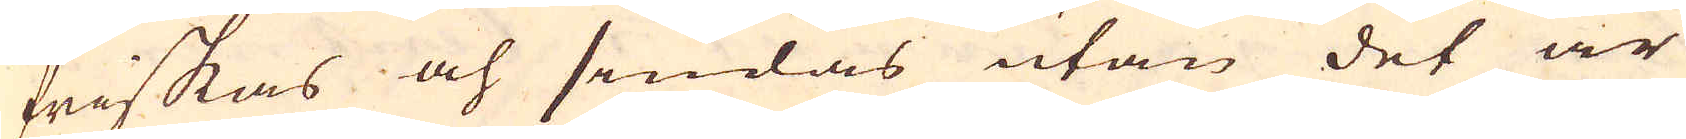friskas och sendas utan det är
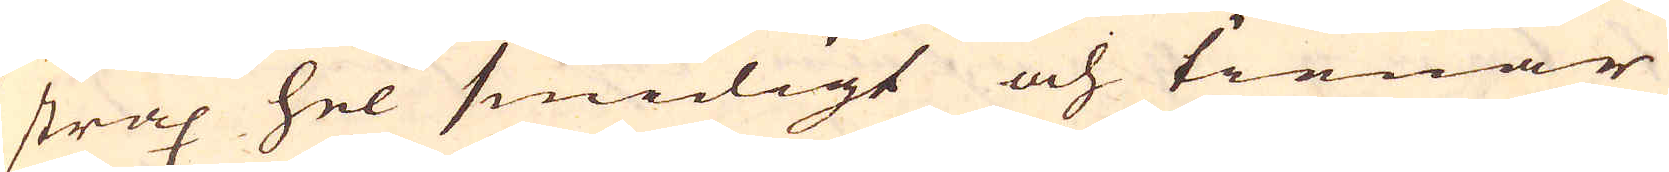strax hel smidigt och tienar
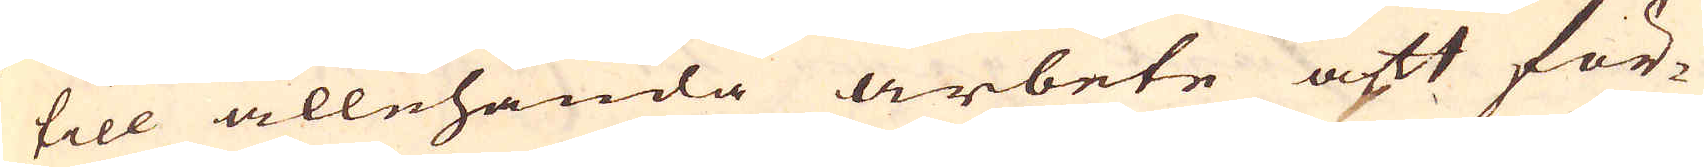till allehanda arbete att för-
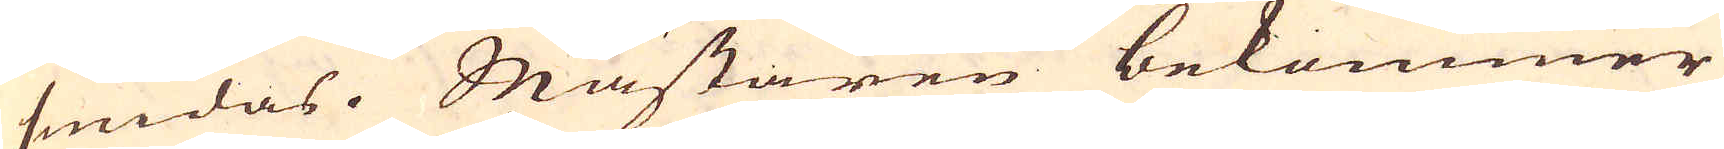smidas. Mästaren bekommer
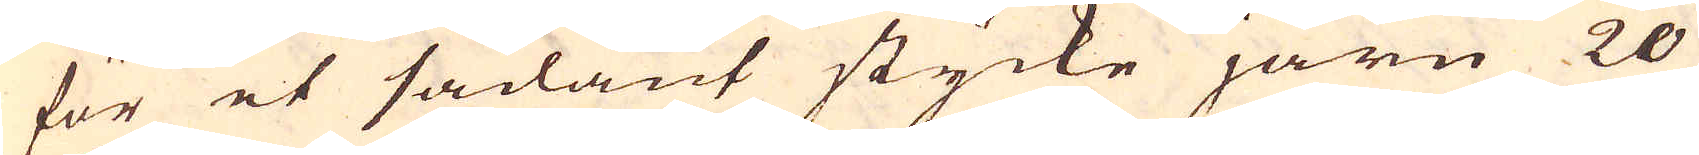för et sådant stycke järn 20
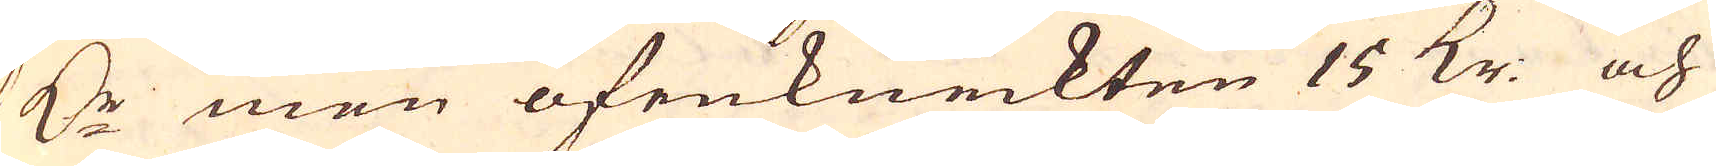Dr men ofenkneckten 15 Kr: och
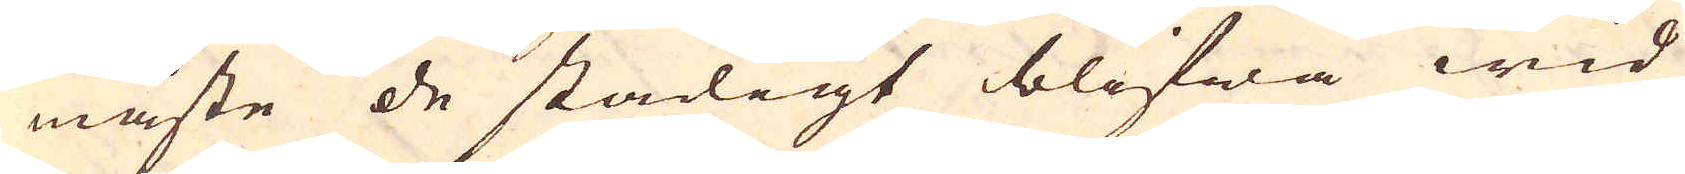måste de stadigt blifwa wid
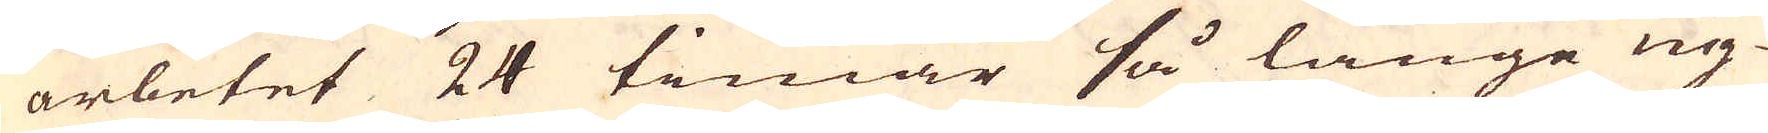arbetet 24 timar så länge ug-
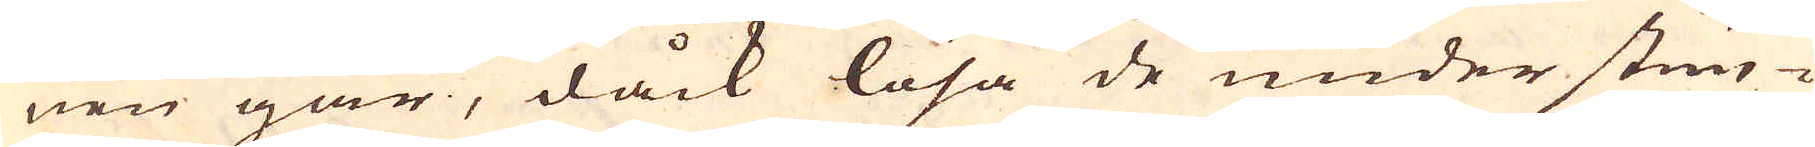nen går, dåck lösa de under stun-
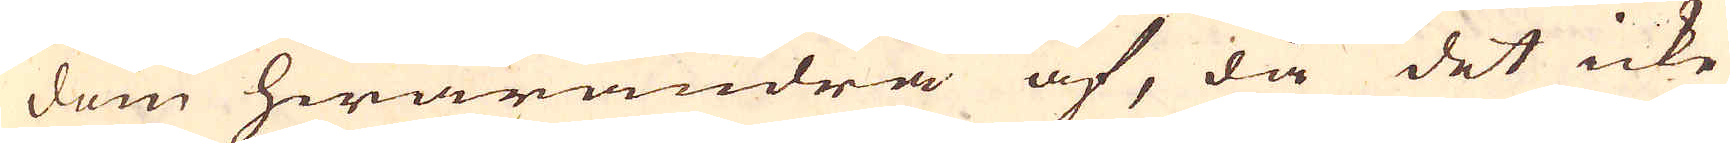dom hwarandra af, då det icke
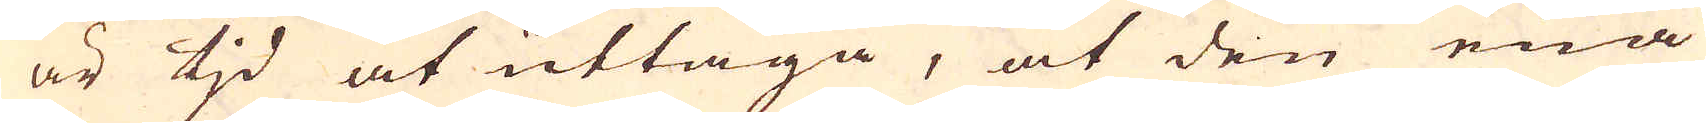är tid at uttaga, at den ena
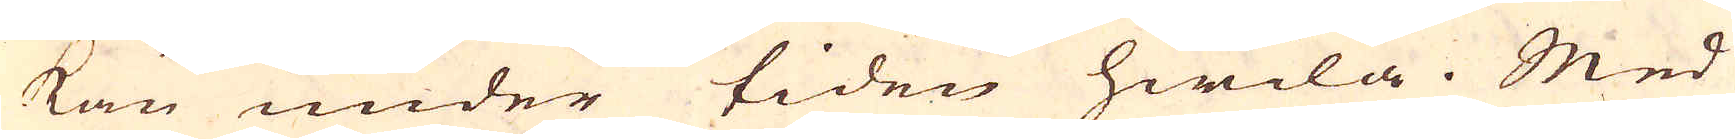kan under tiden hwila. Med
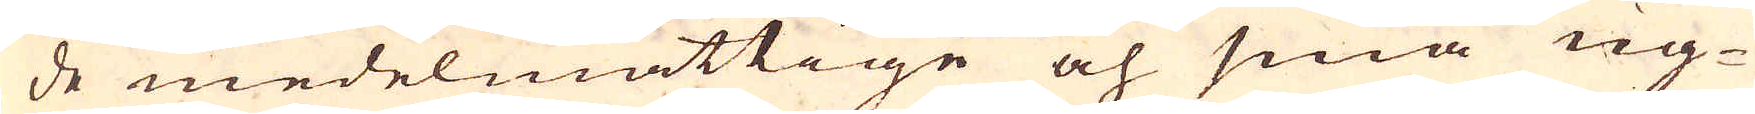de medelmåttige och små ug-
